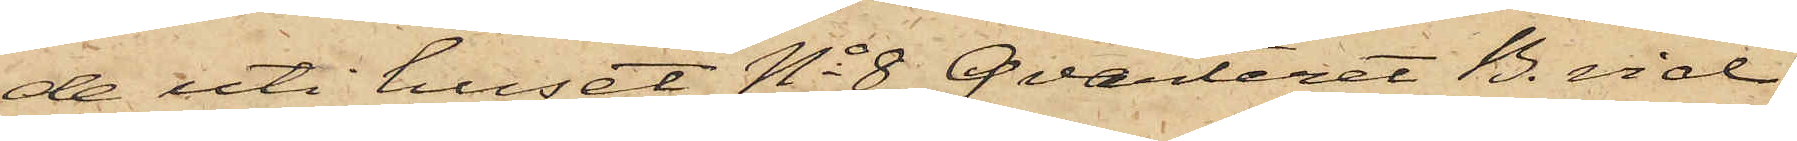de uti huset No 8 Qvarteret B. vid
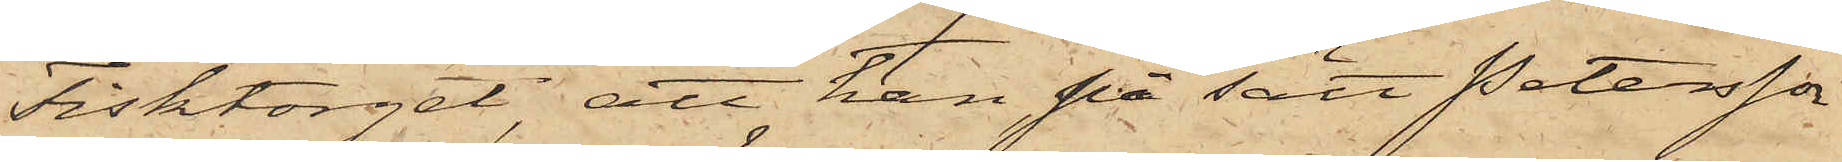Fisktorget; att han, på sätt Petersson
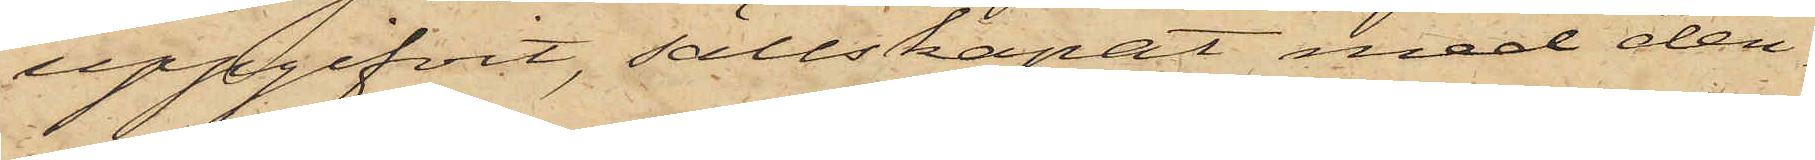uppgifvit, sällskapat med den¬
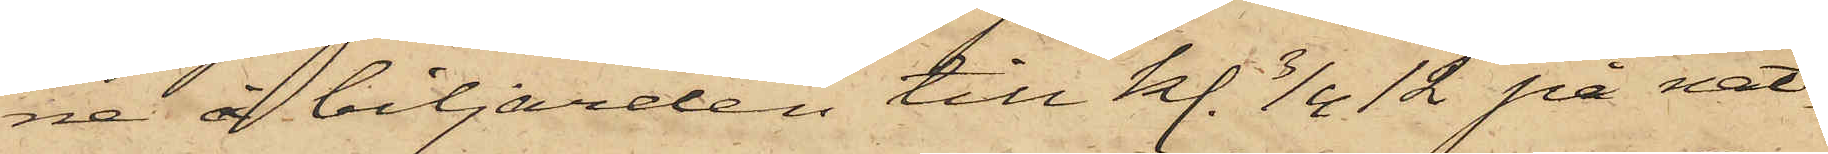ne å biljarden till kl. 3/4 12 på nat¬
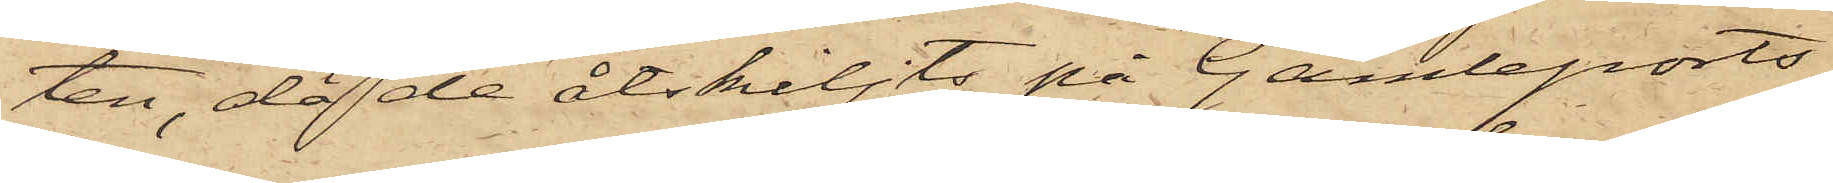ten, då de åtskiljts på Gamleports¬
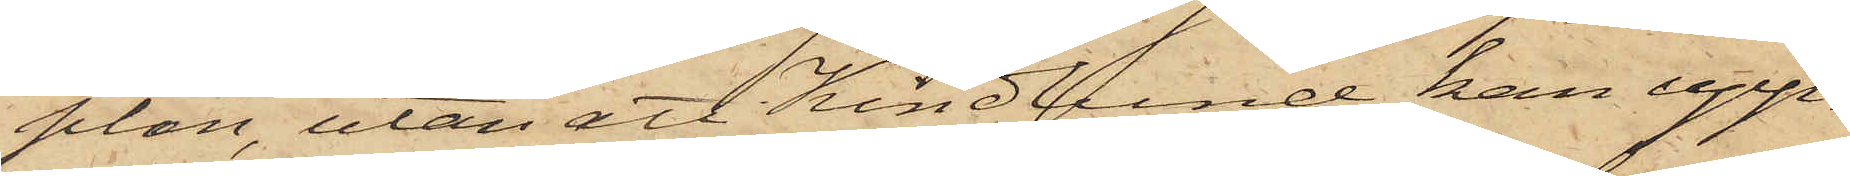plan, utan att Kindlund kan upp¬
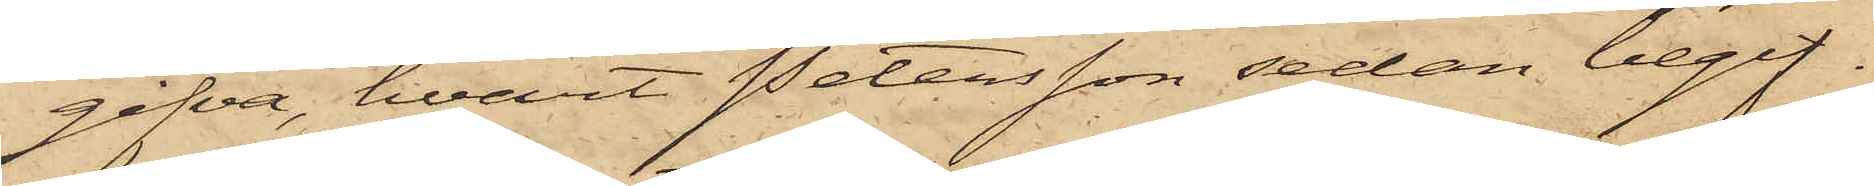gifva, hvart Petersson sedan begif¬
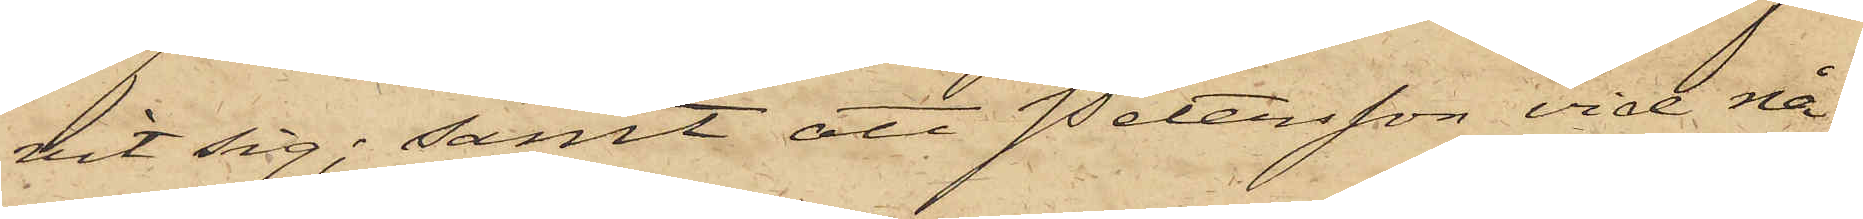vit sig; samt att Petersson vid nå¬
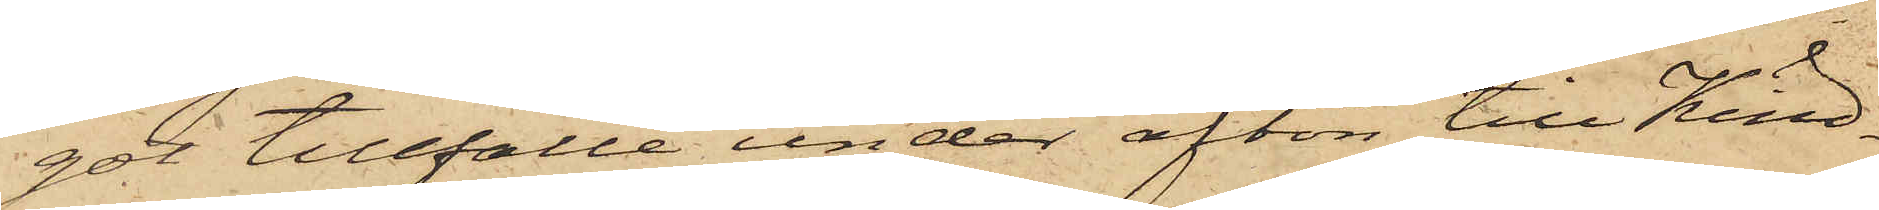got tillfälle under afton till Kind¬
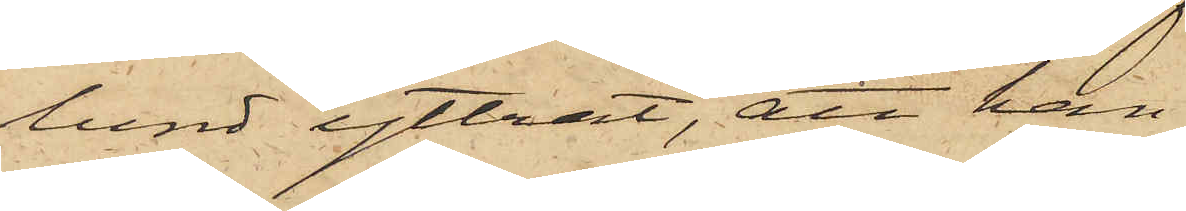lund yttrat, att han
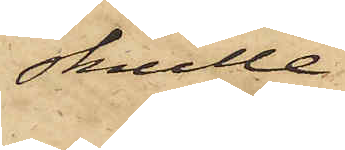skulle
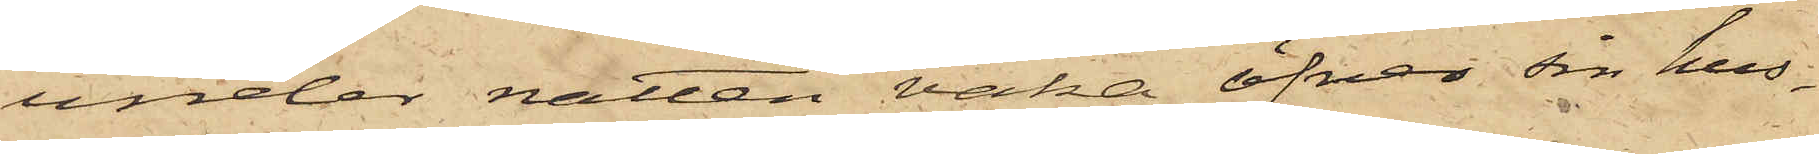under natten vaka öfver sin hus¬
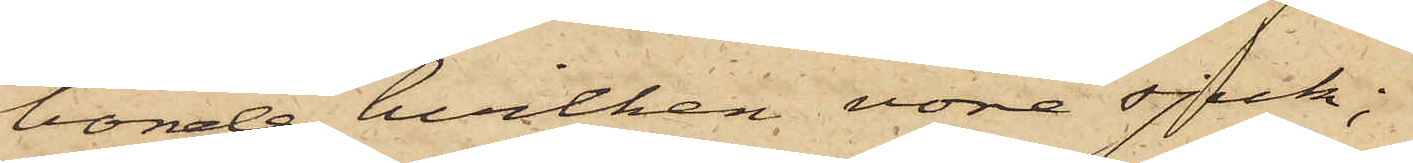bonde, hvilken vore sjuk;
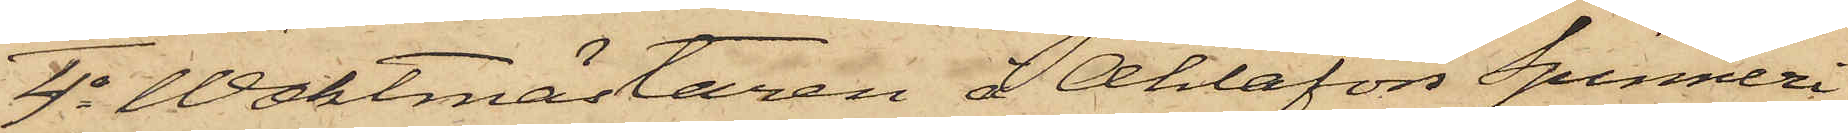4o Waktmästaren å Ahlafors Spinneri
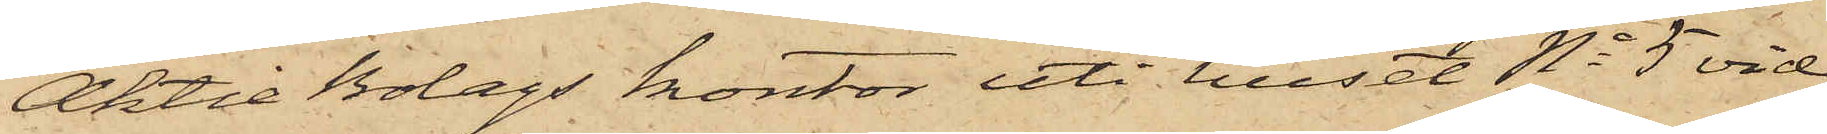Aktie Bolags kontor uti huset No 5 vid
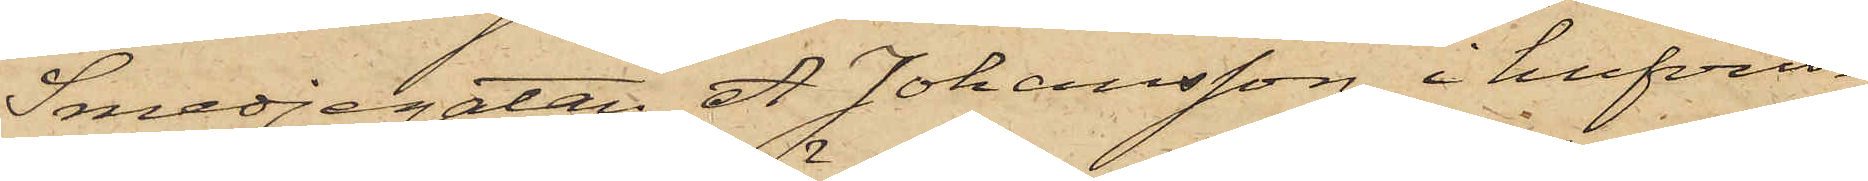Smedjegatan A Johansson, i hufvud¬
